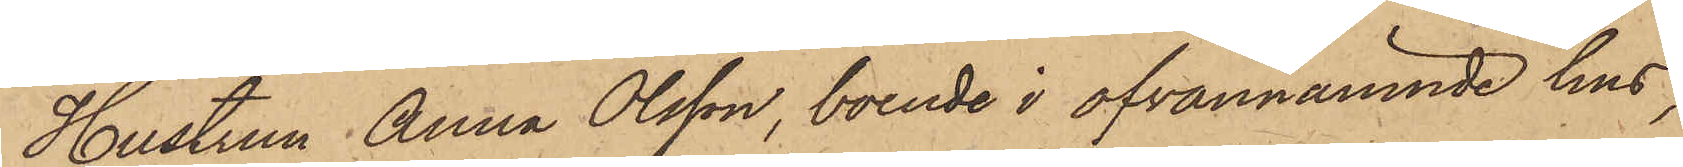Hustrun Anna Olsson, boende i ofvannämnde hus,
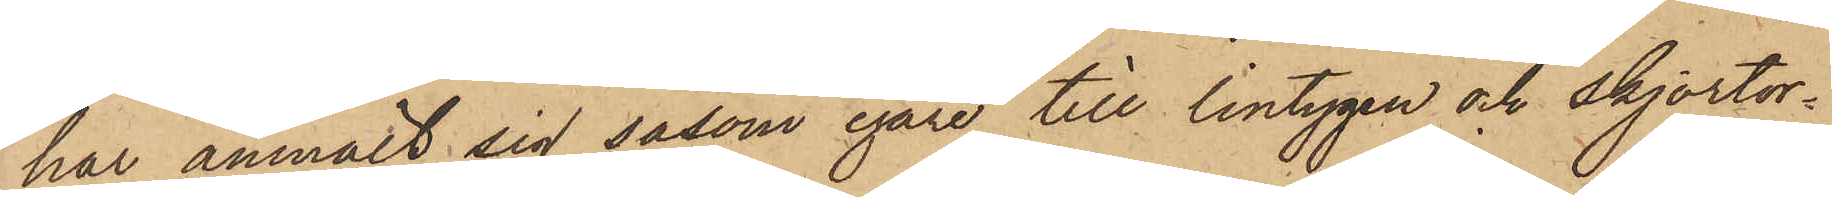har anmält sig såsom egare till lintygen och skjortor¬
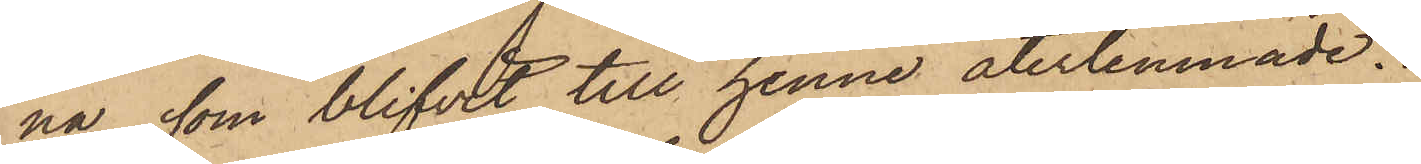na, som blifvit till henne återlemnade.
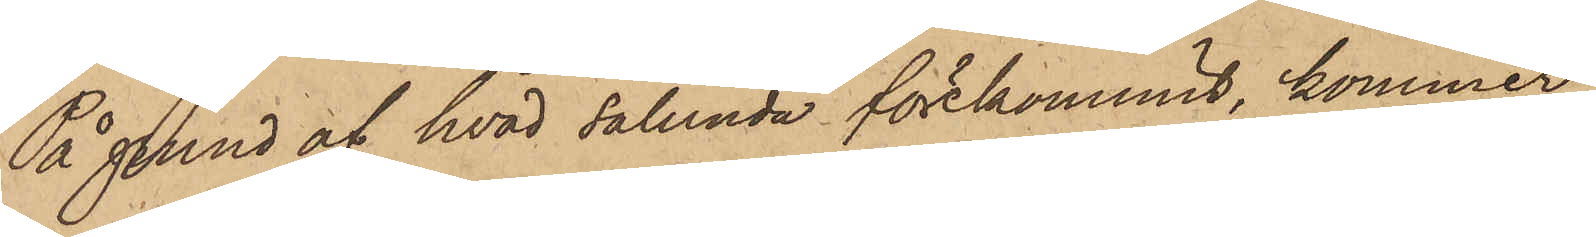På grund af hvad sålunda förekommit, kommer
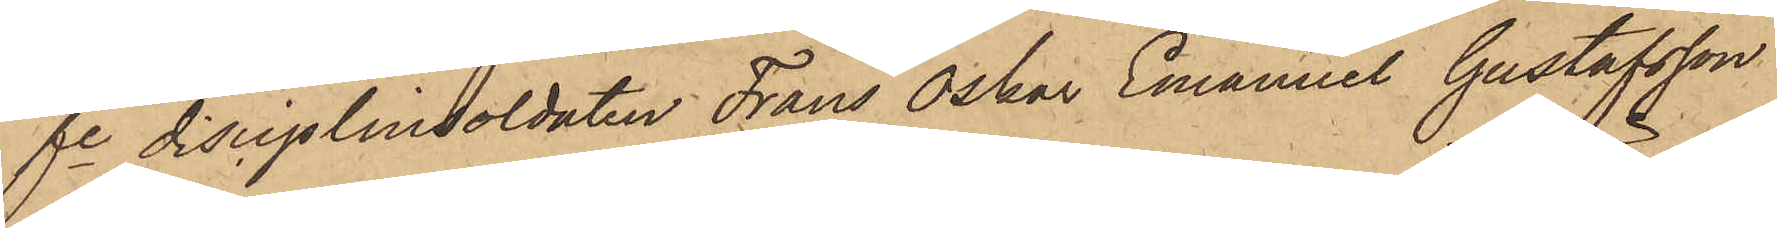fe disciplindoldaten Frans Oskar Emanuel Gustafsson
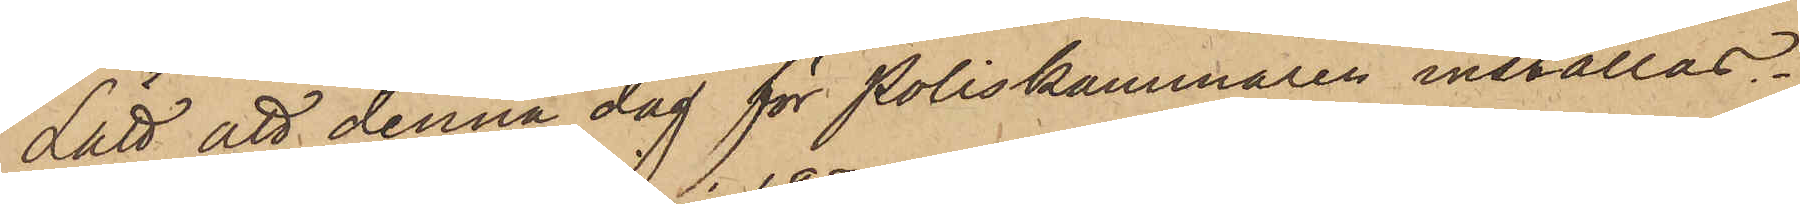Lätt att denna dag för Poliskammaren inställas.
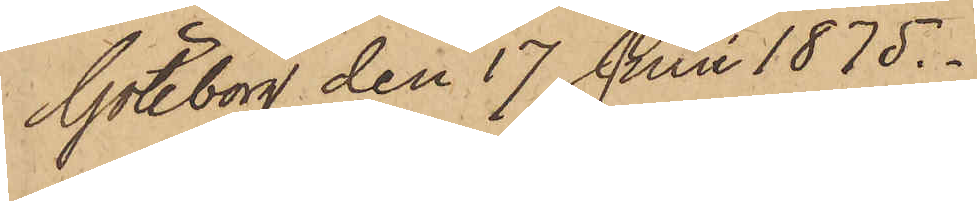Göteborg den 17 Juni 1875.
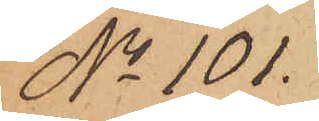No 101.
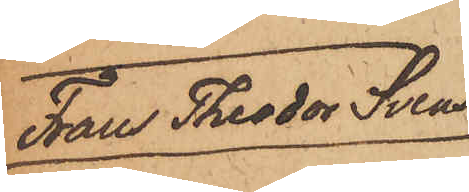Frans Theodor Svens¬
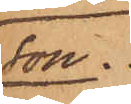son.
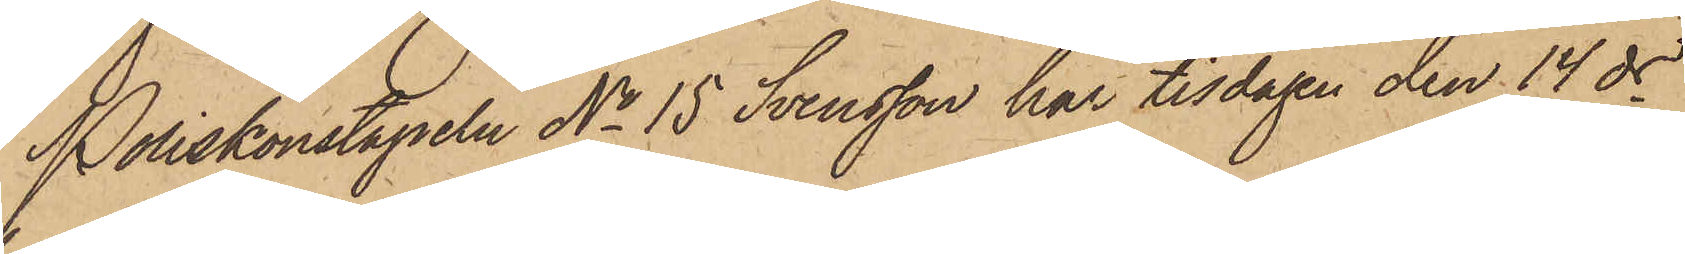Poliskonstapeln No 15 Svensson har tisdagen den 14 ds
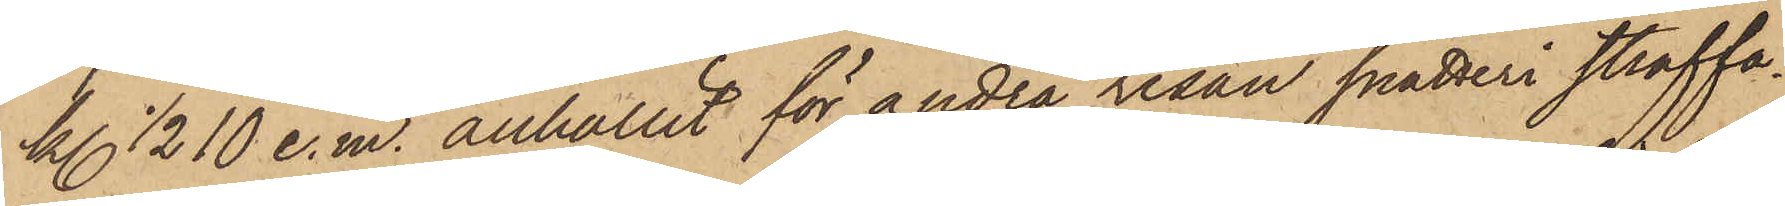kl. 1/2 10 e. m. anhållit för andra resan snatteri straffa¬
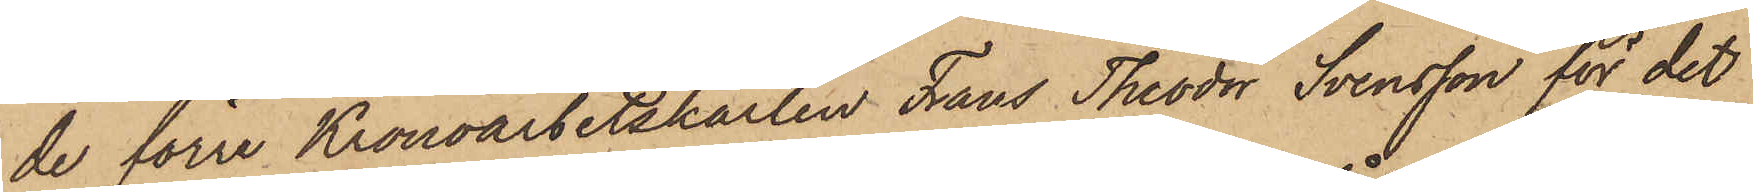de förre Kronoarbetskarlen Frans Theodor Svensson för det
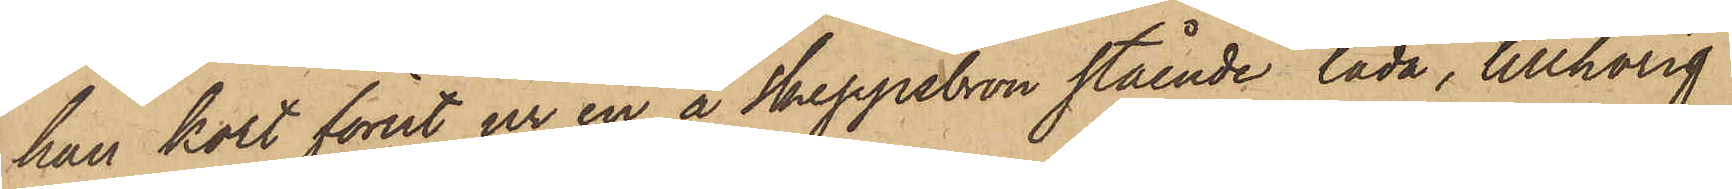han kort förut ur en å Skeppsbron stående låda, tillhörig
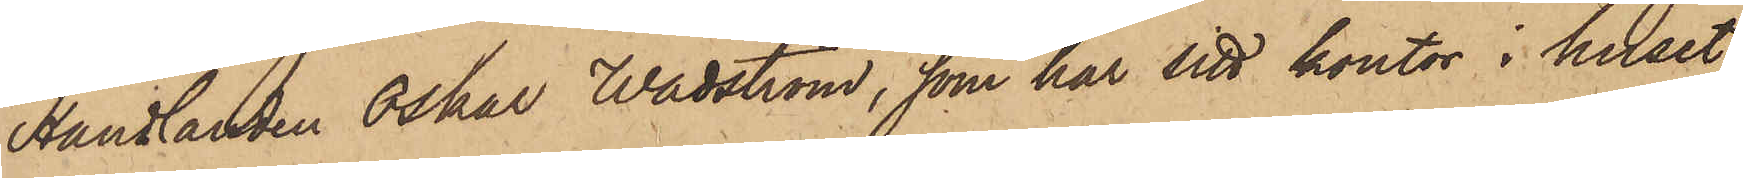Handlanden Oskar Wadström, som har sitt kontor i huset
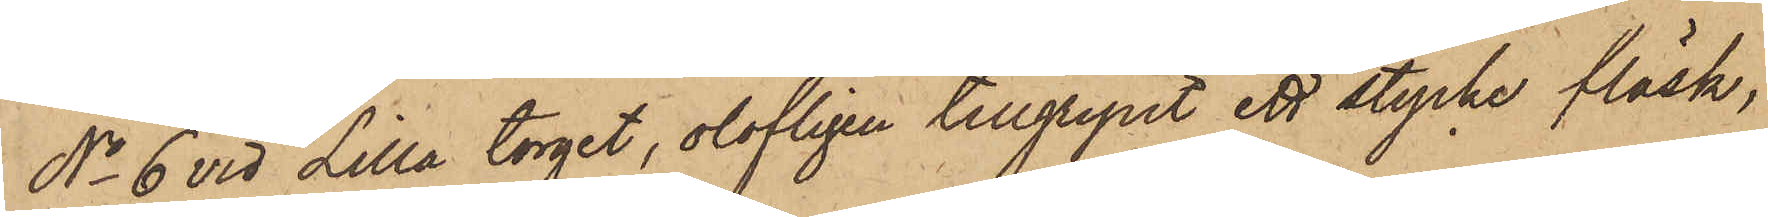No 6 vid Lilla torget, olofligen tillgripit ett stycke fläsk,
